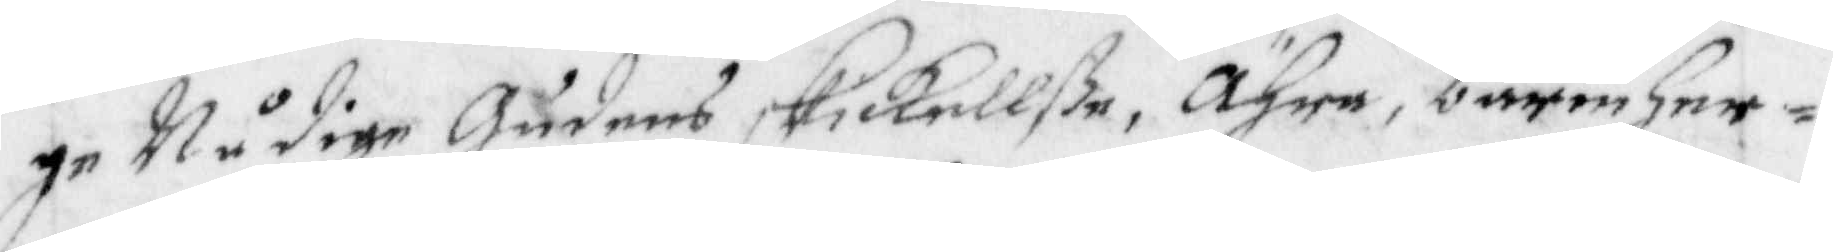ge Nådige Gudens Skickellße, Ähra, barmher¬
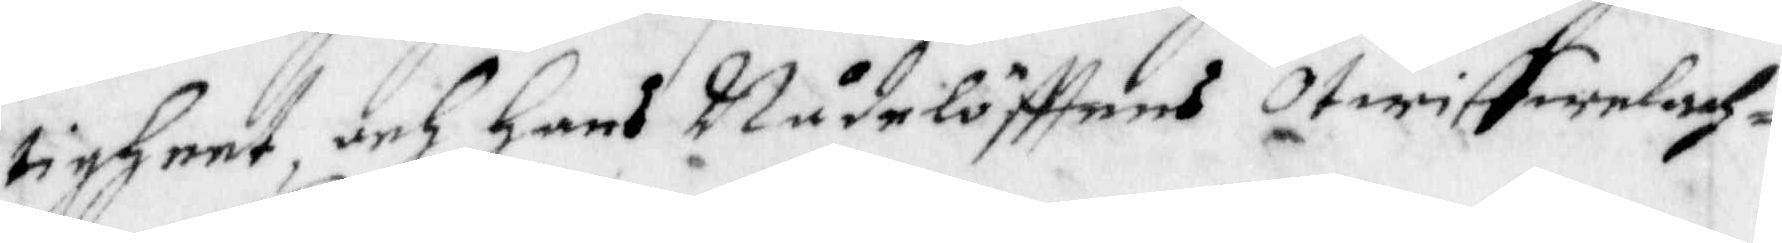tigheet, och Hans Nådelöfftens Otwiffwelach¬
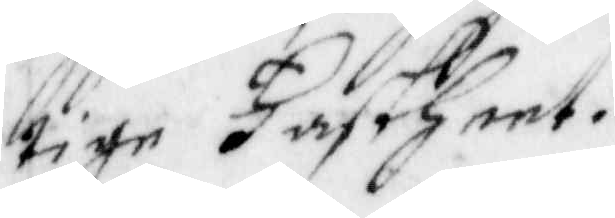tige Fastheet.
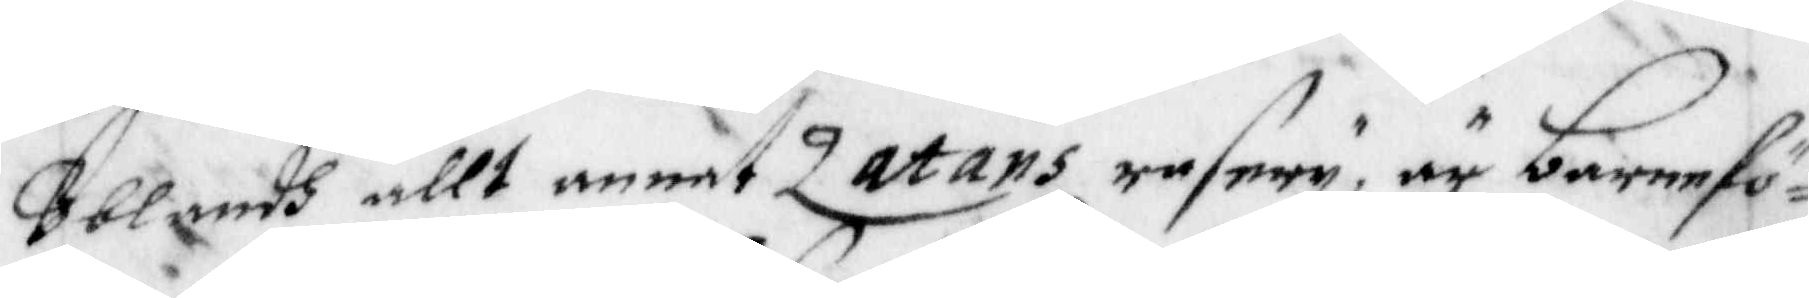Blandh allt annat Zatans rasery, är barnefö¬
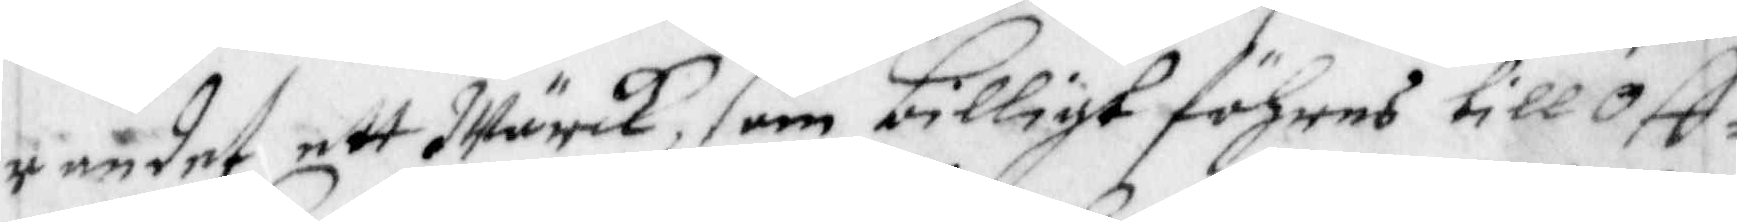randet ett Wärck, som billigt föhres till Off¬
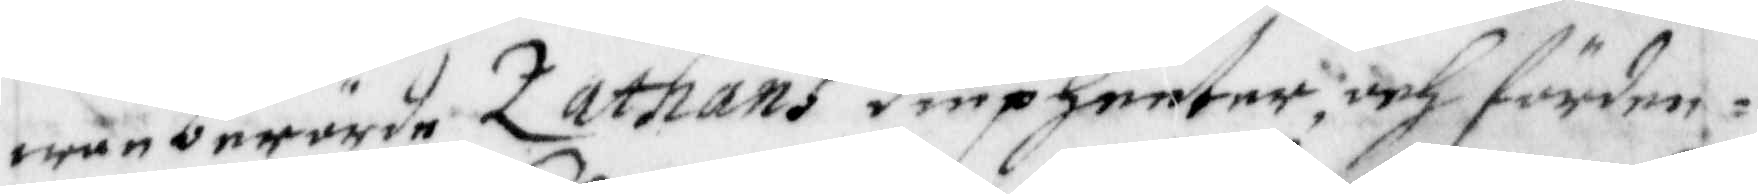wanberörde Zathans diupheeter, och förden¬
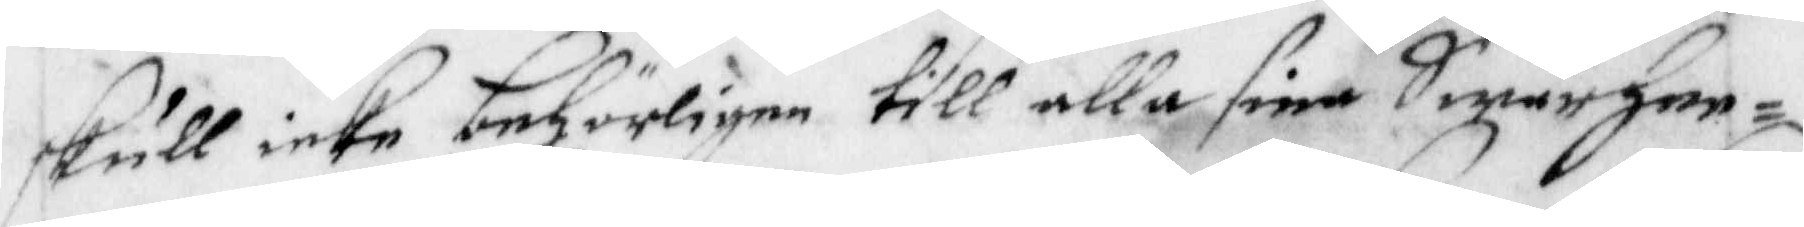skull icke behörligen till alla sina Swårhee¬
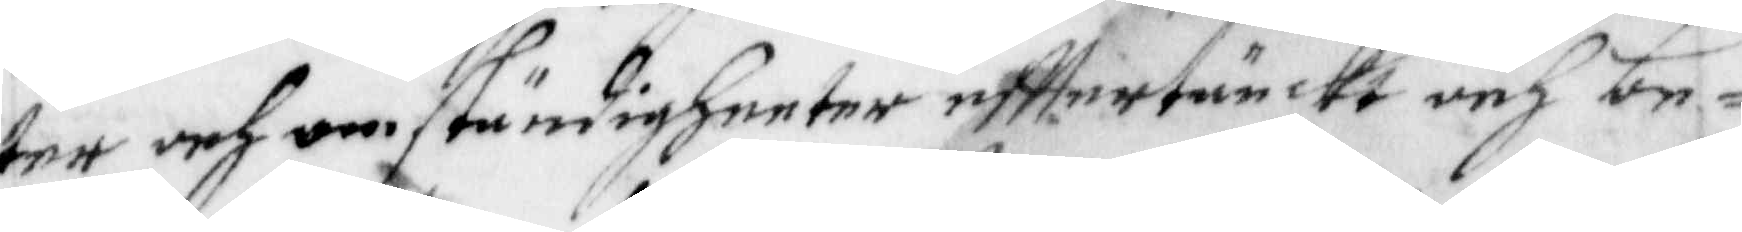ter och omständigheeter efftertänckt och be¬
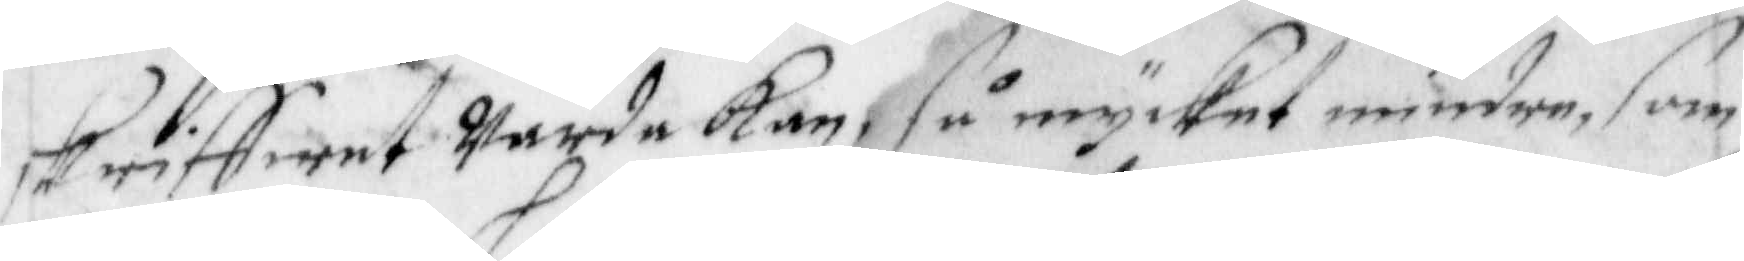skriffwet Warda Kan, så mycket mindre, som 
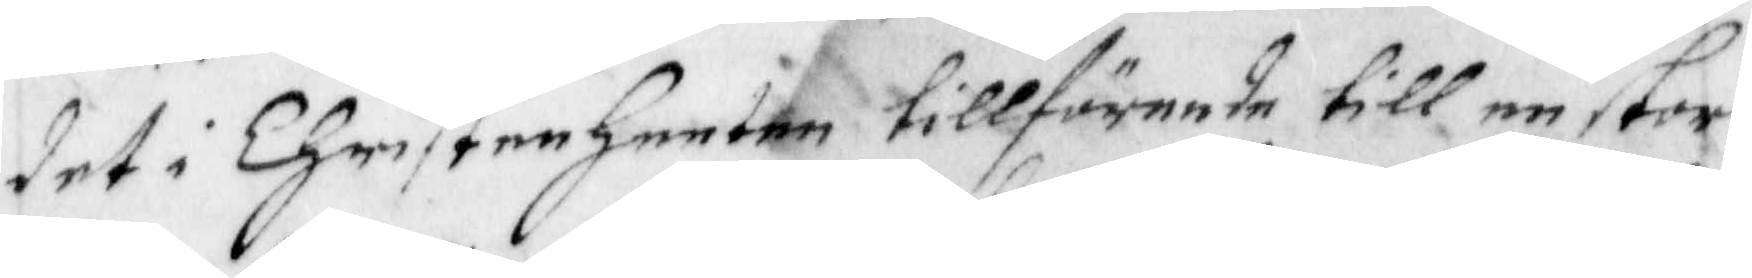det i Christenheeten tillförende till en stor
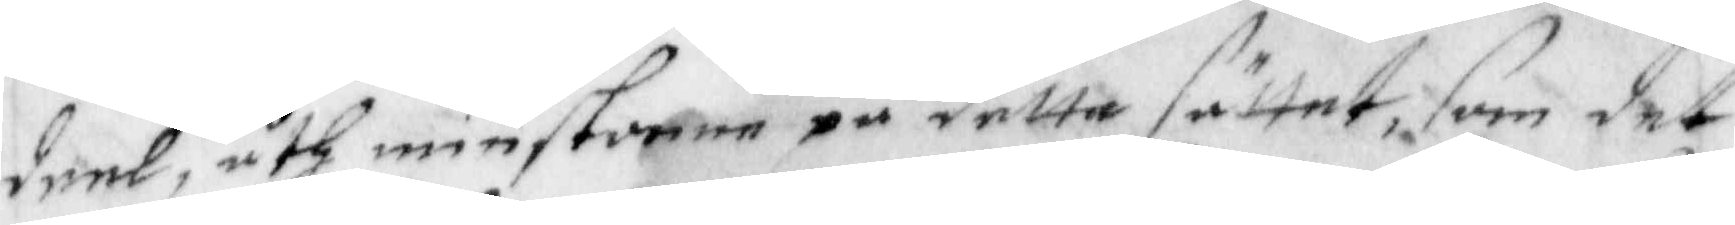deel, åthminstonne på detta sättet, som det
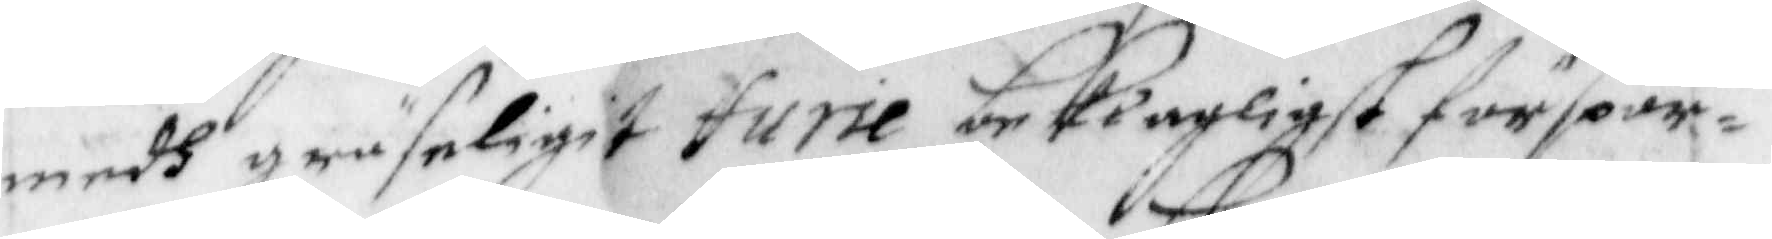medh gräseligit furie beklagligst förspör¬
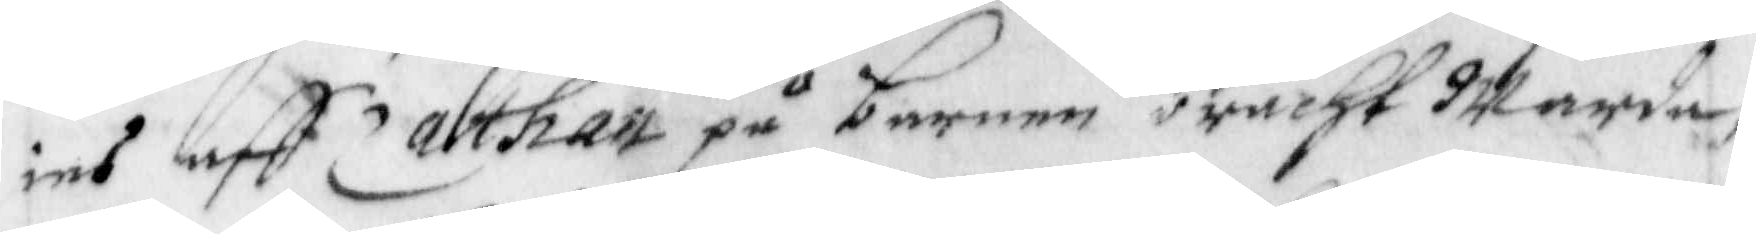ies aff Zathan på barnen bracht Warda,
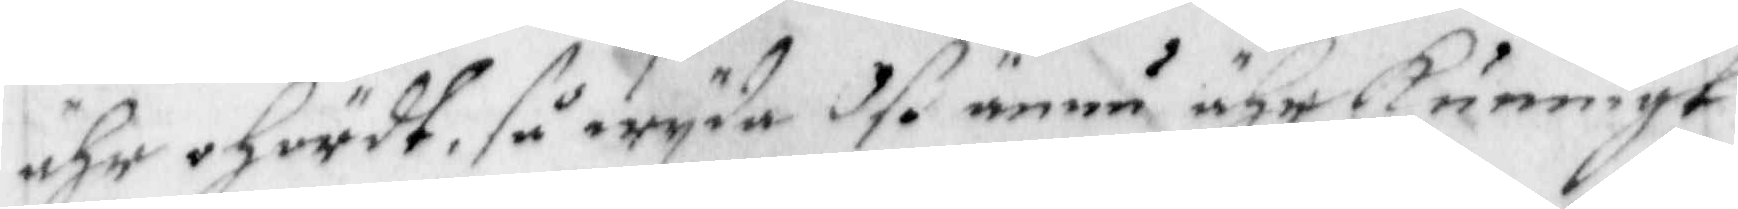ähr ohördt, så wyda Oss ännu ähr kunnigt
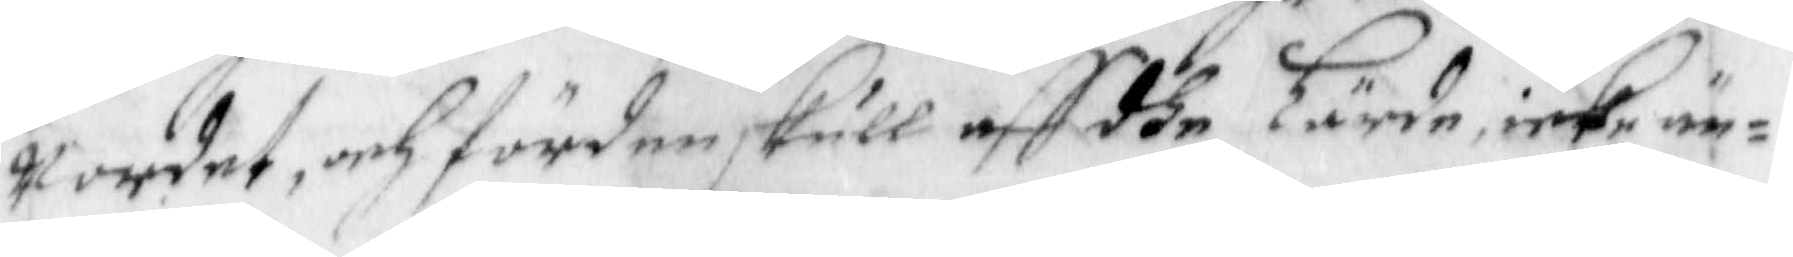Wordet, och förden skull aff dhe Lärde icke än¬
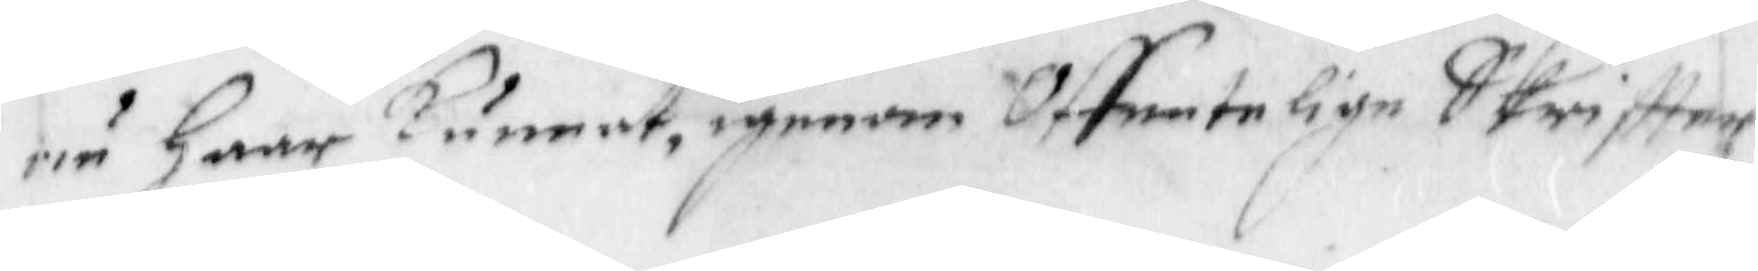nu Haar Kunnat, igenom Offentelige Skriffter
